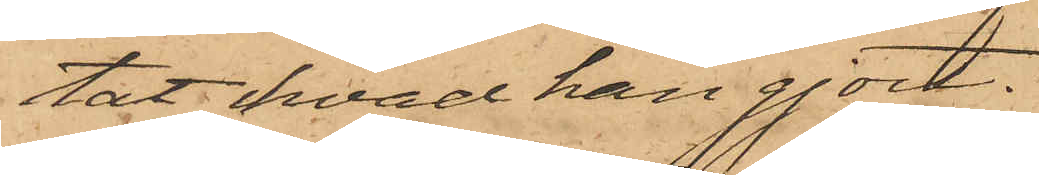tat hvad han gjort.
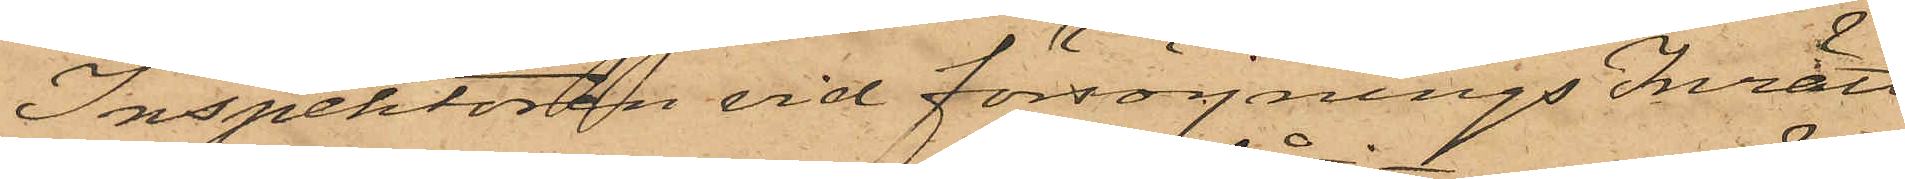Inspektören vid försörjnings Inrätt
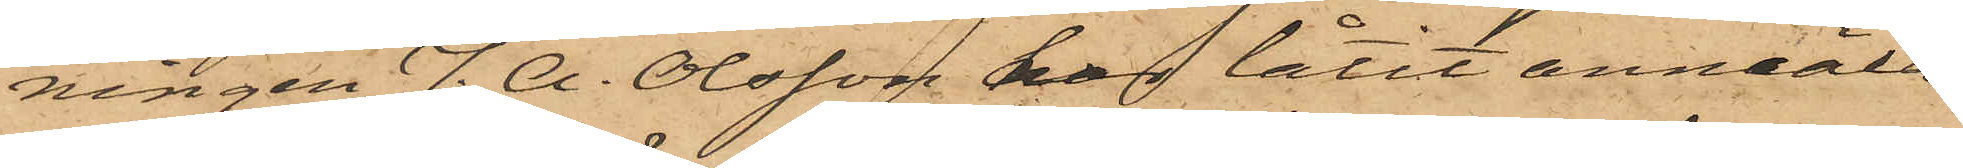ningen J. A. Olsson har låtit anmäla
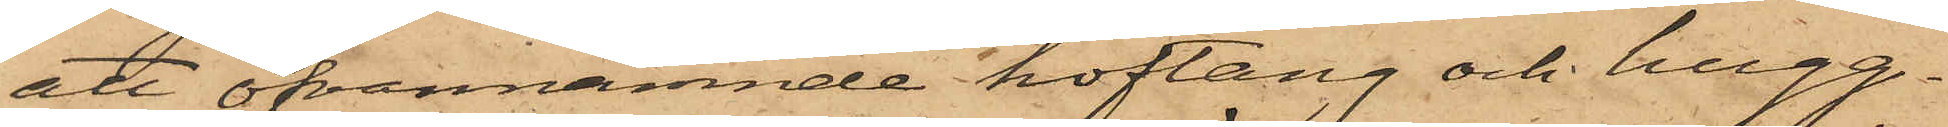att ofvannämnde hoftång och hugg¬
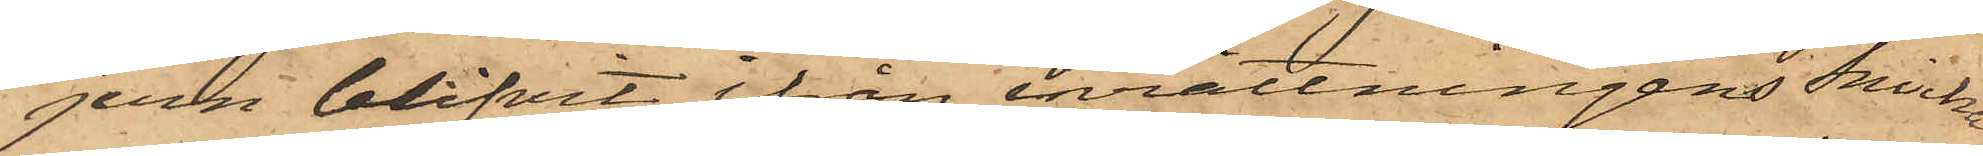jern blifvit ifrån inrättningens snicka¬
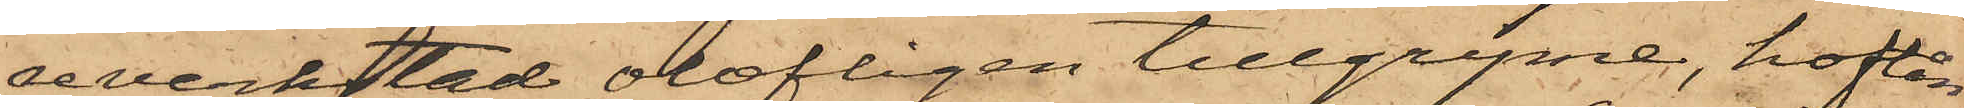reverkstad olofligen tillgripne, hoftån¬
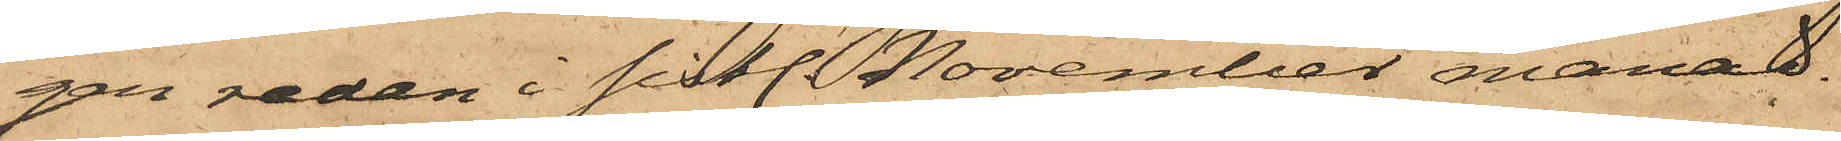gen redan i sistl. November månad.
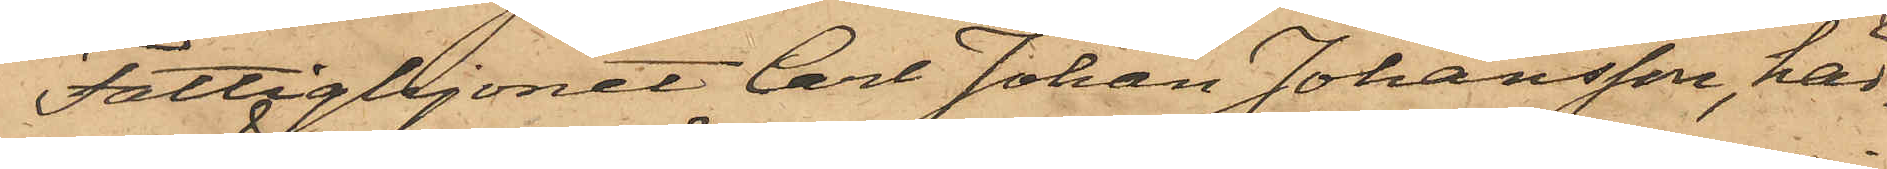Fattighjonet Carl Johan Johansson, här¬
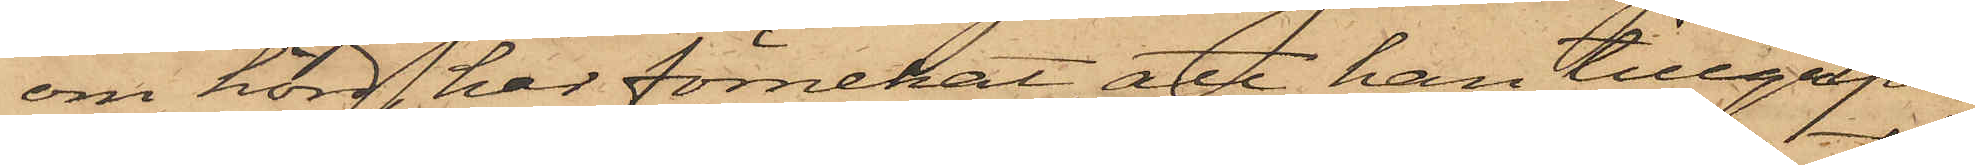om hörd, har förnekat, att han tillgripit
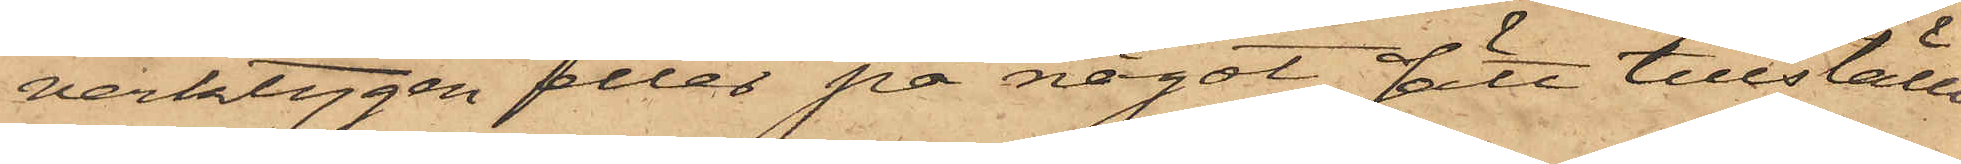verktygen eller på något sätt tillställt
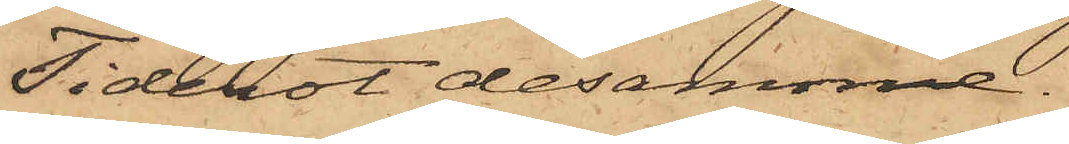Tiderot desamme.
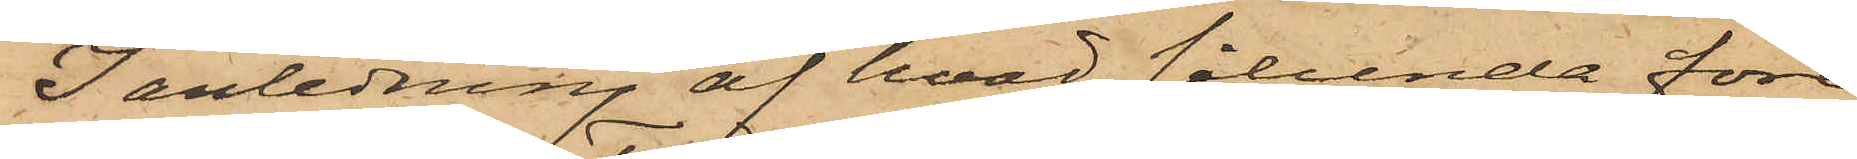I anledning af hvad sålunda före¬
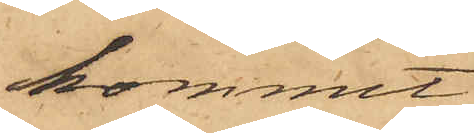kommit
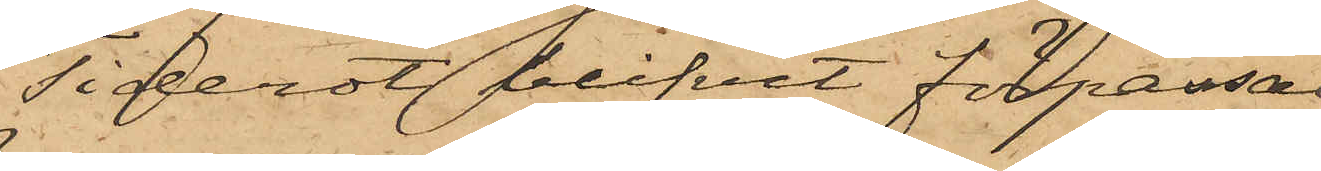Tiderot blifvit förpassad
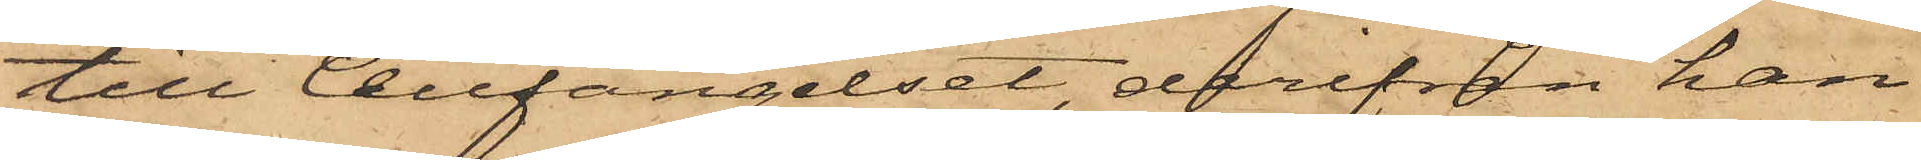till Cellfängelset, derifrån han
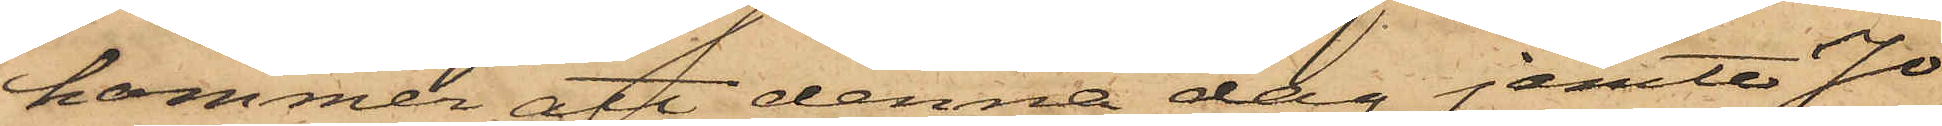kommer att denna dag jemte Jo¬
